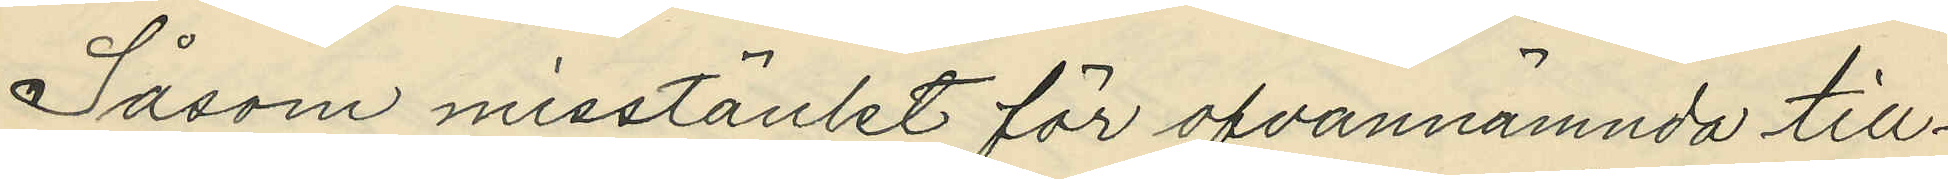Såsom misstänkt för ofvannämnda till¬
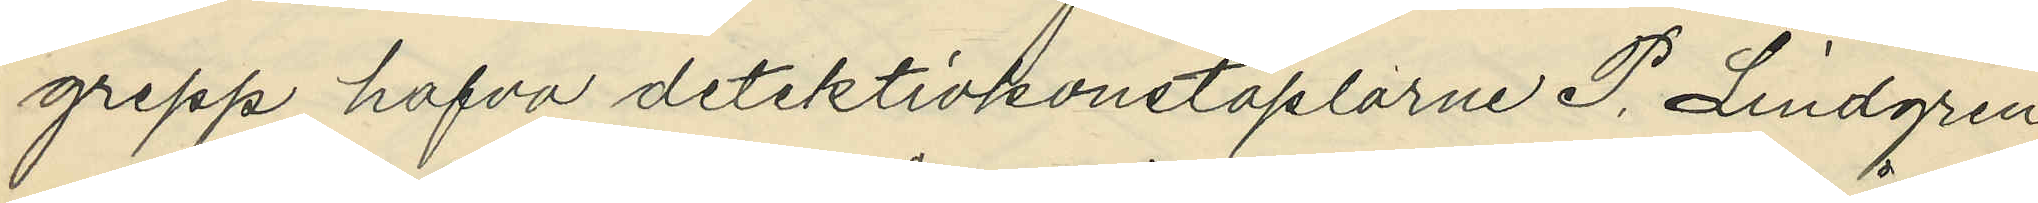grepp hafva detektivkonstaplarne P. Lindgren
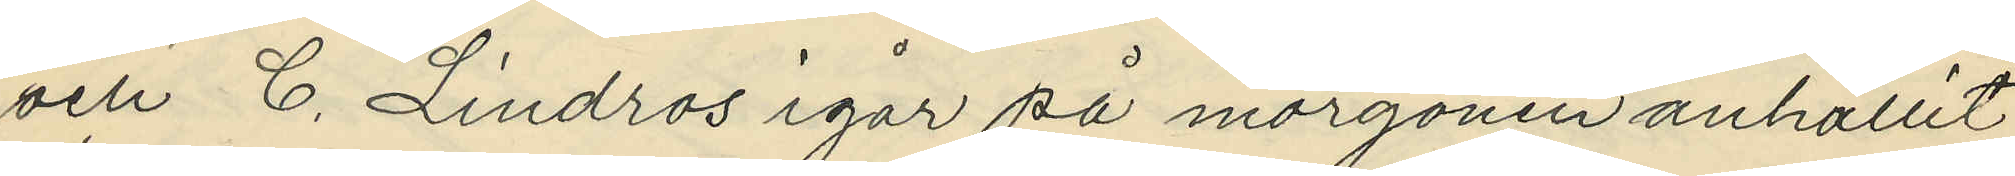och C. Lindros igår på morgonen anhållit
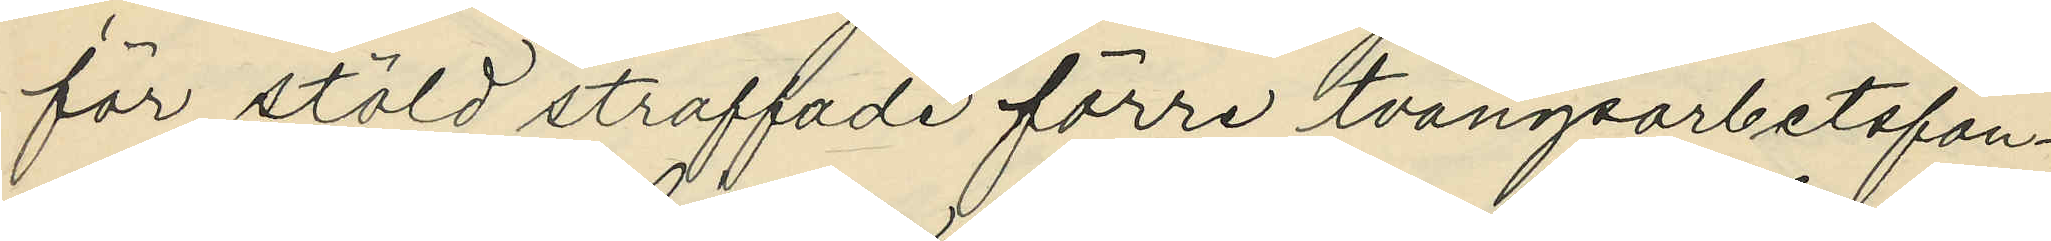för stöld straffade förre tvångsarbetsfån¬
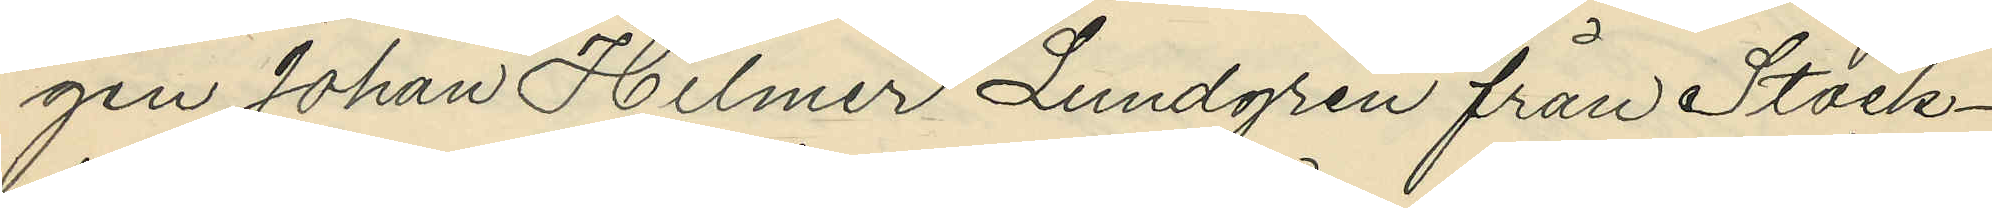gen Johan Hilmer Lundgren från Stock¬
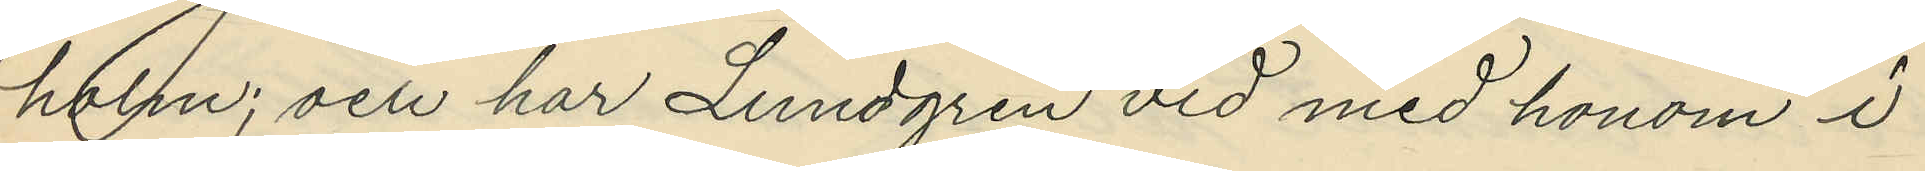holm; och har Lundgren vid med honom i
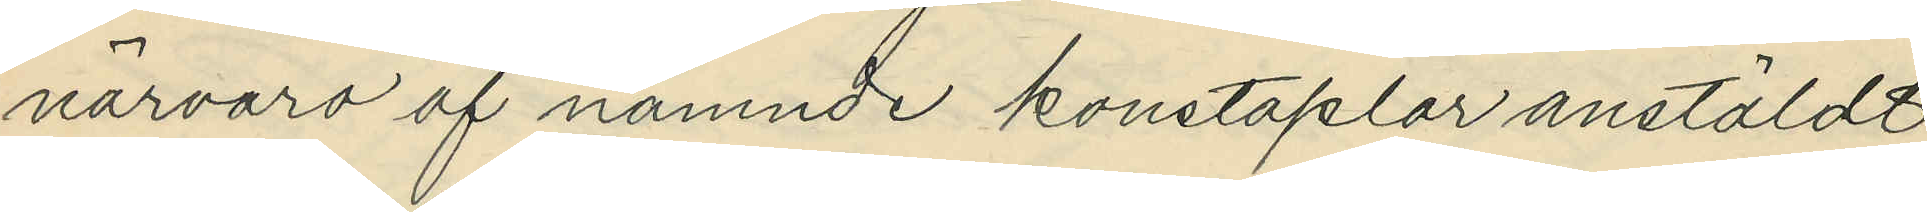närvaro af nämnde konstaplar anstäldt
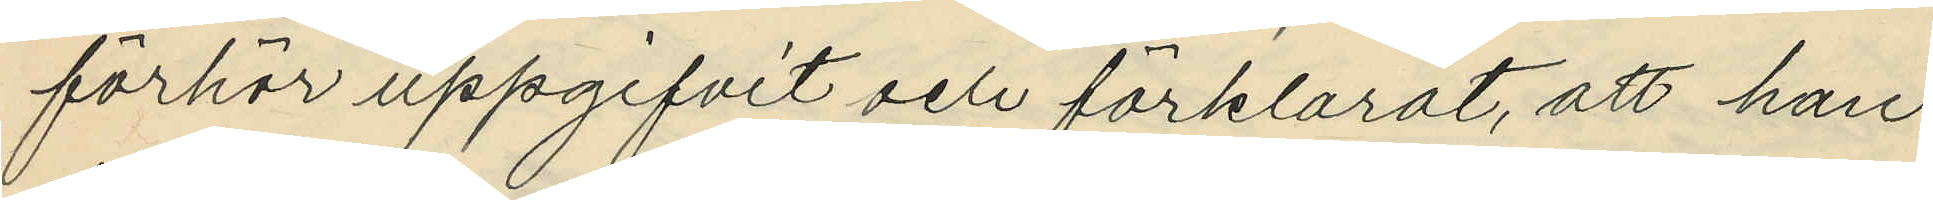förhör uppgifvit och förklarat, att han
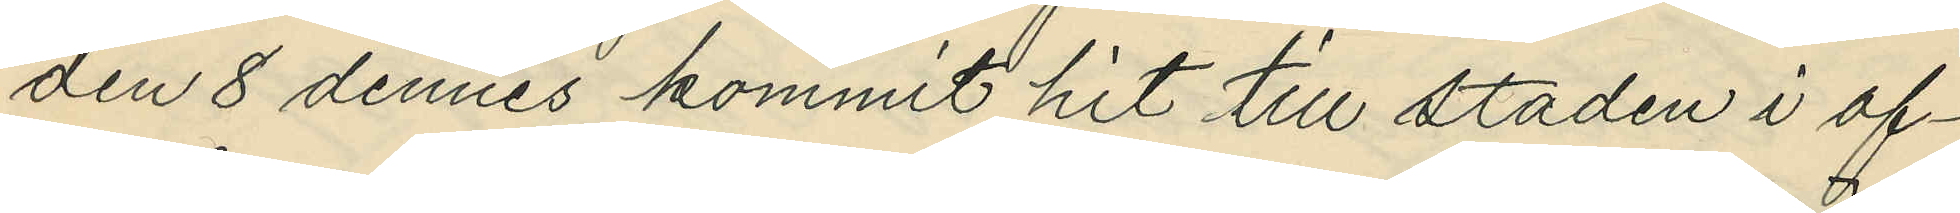den 8 dennes kommit hit till staden i af¬
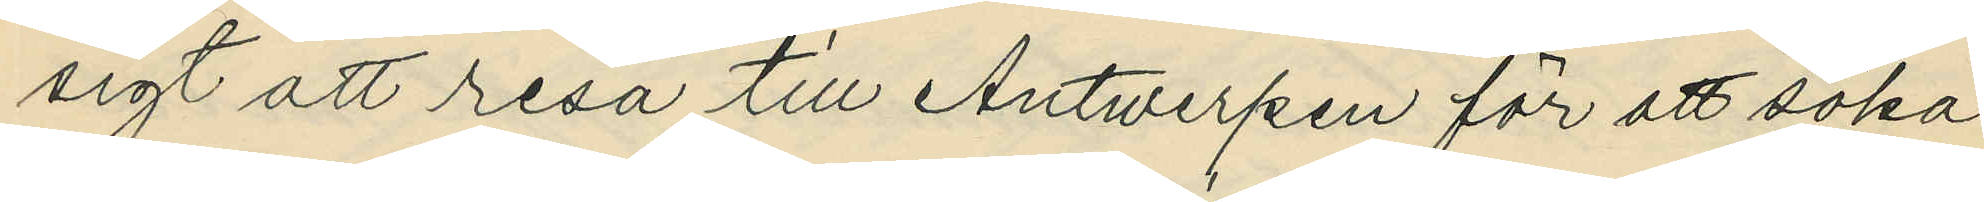sigt att resa till Antwerpen för att söka
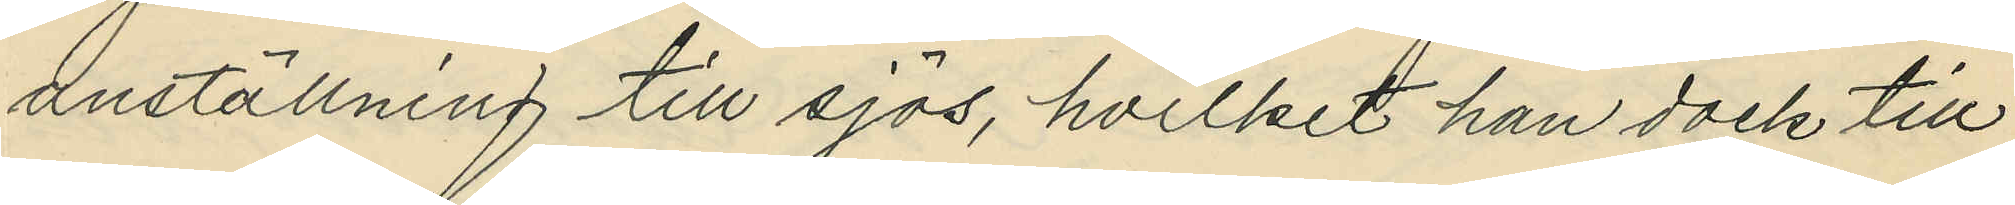anställning till sjös, hvilket han dock till
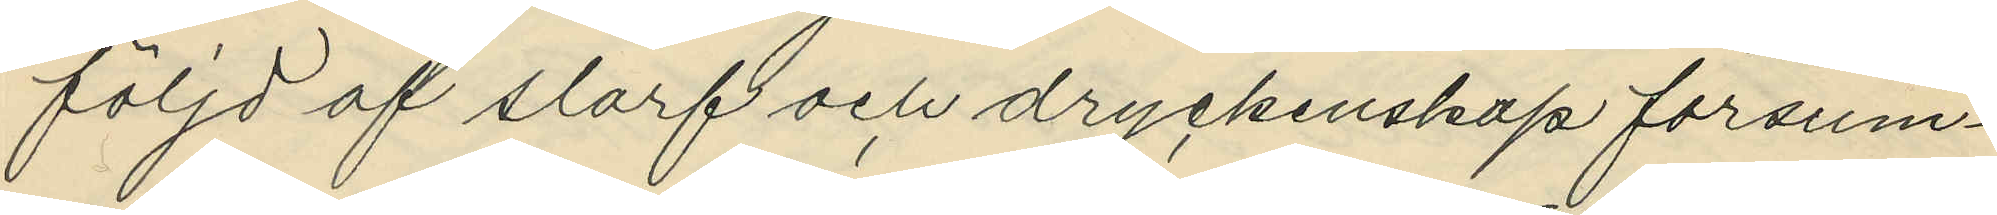följd af slarf och dryckenskap försum¬
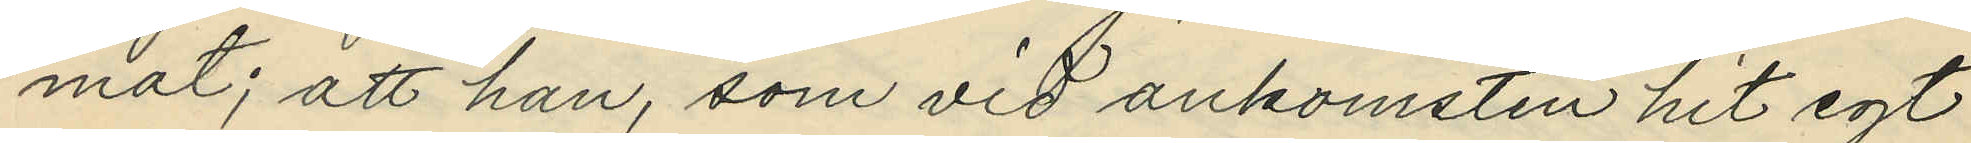mat; att han, som vid ankomsten hit egt
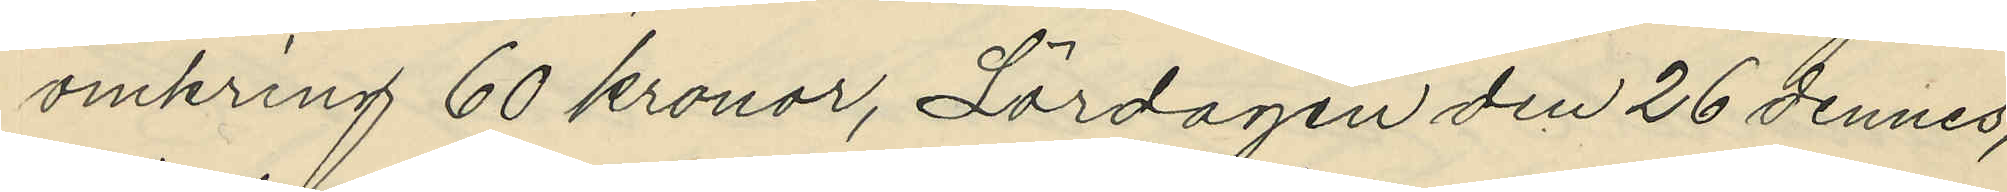omkring 60 kronor, Lördagen den 26 dennes,
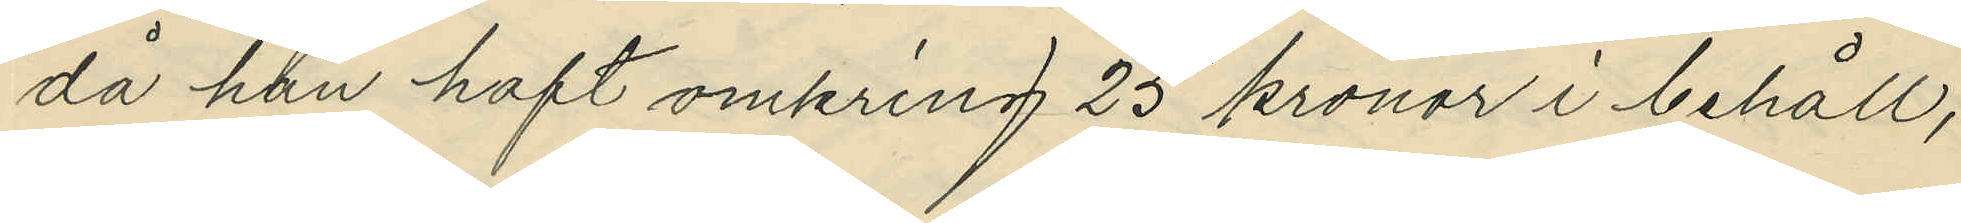då han haft omkring 25 kronor i behåll,
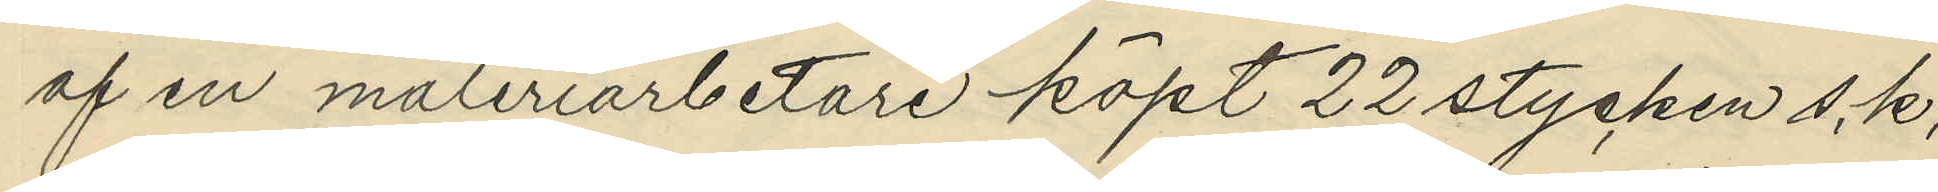af en måleriarbetare köpt 22 stycken s.k.
